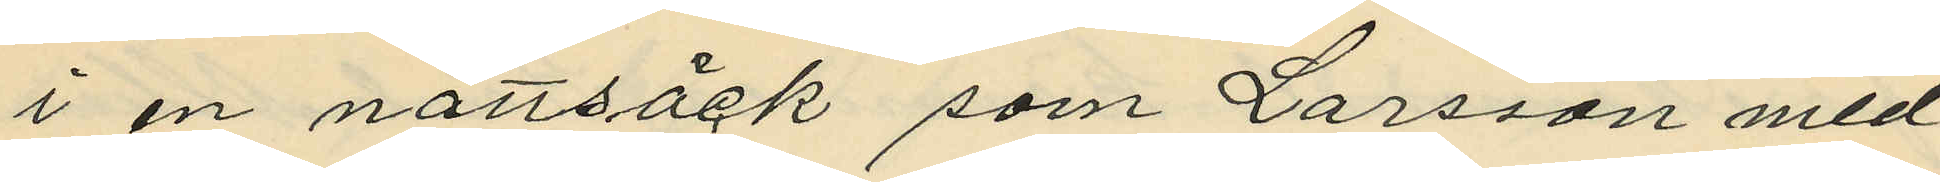i en nattsäck som Larsson med¬
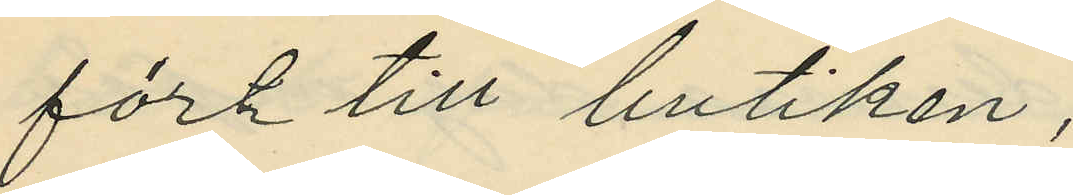fört till butiken;
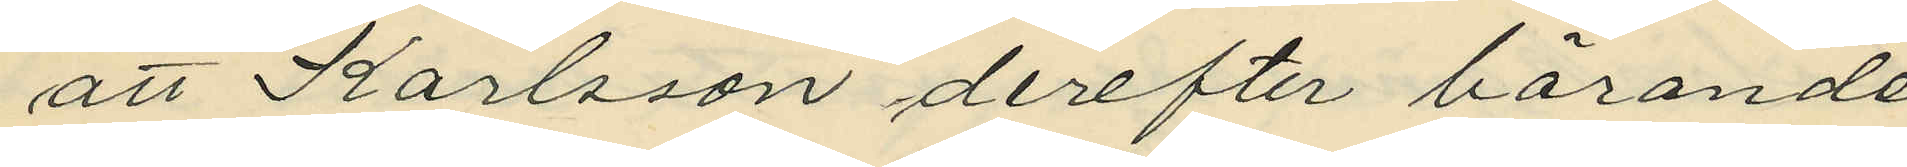att Karlsson derefter bärande
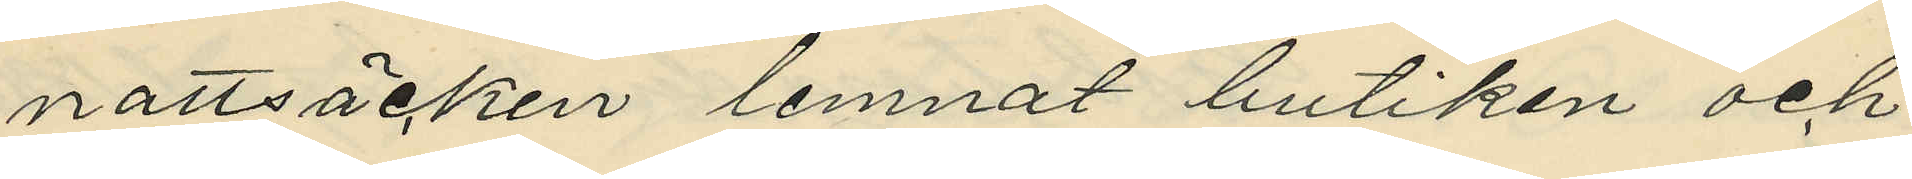nattsäcken lemnat butiken och
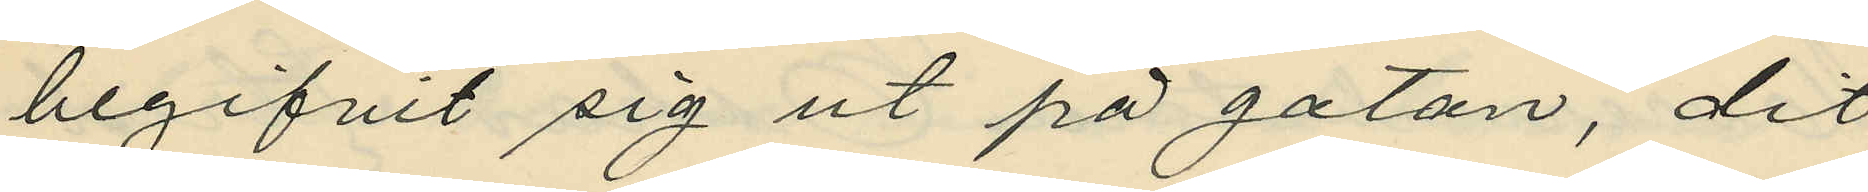begifvit sig ut på gatan, dit
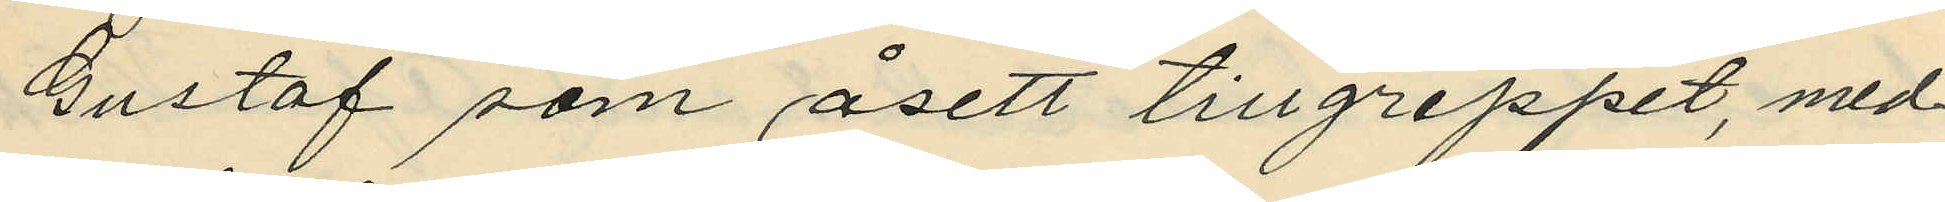Gustaf som åsett tillgreppet, med¬
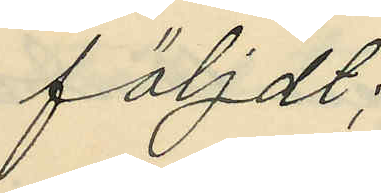följdt;
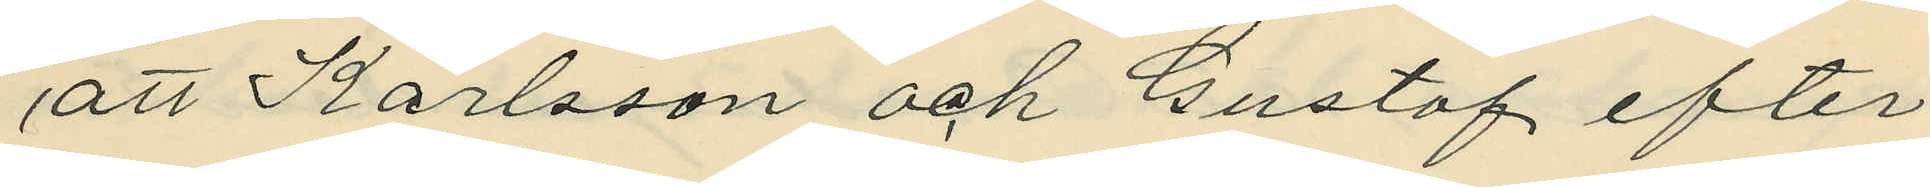att Karlsson och Gustaf efter
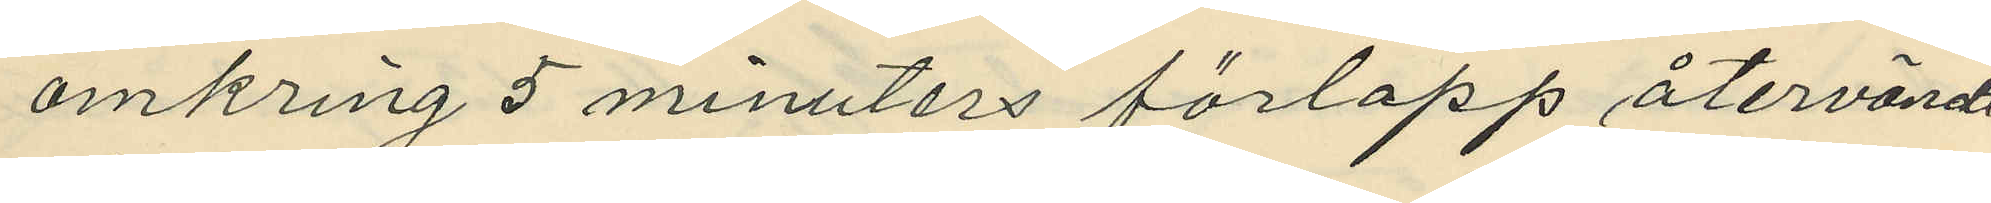omkring 5 minuters förlopp återvändt
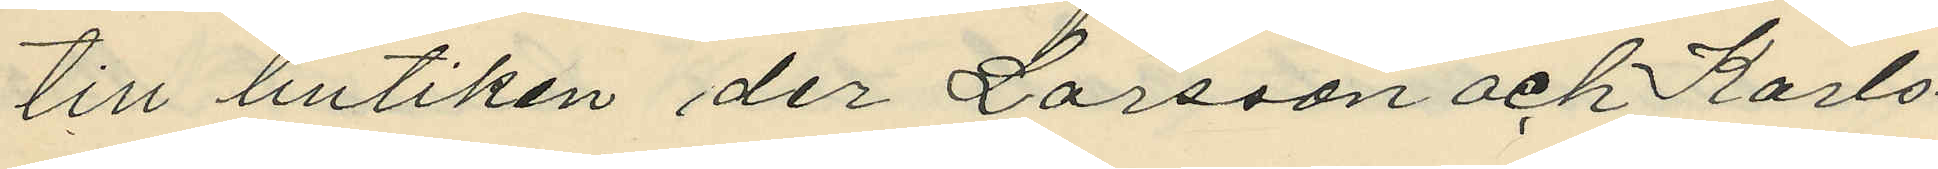till butiken der Larsson och Karls¬
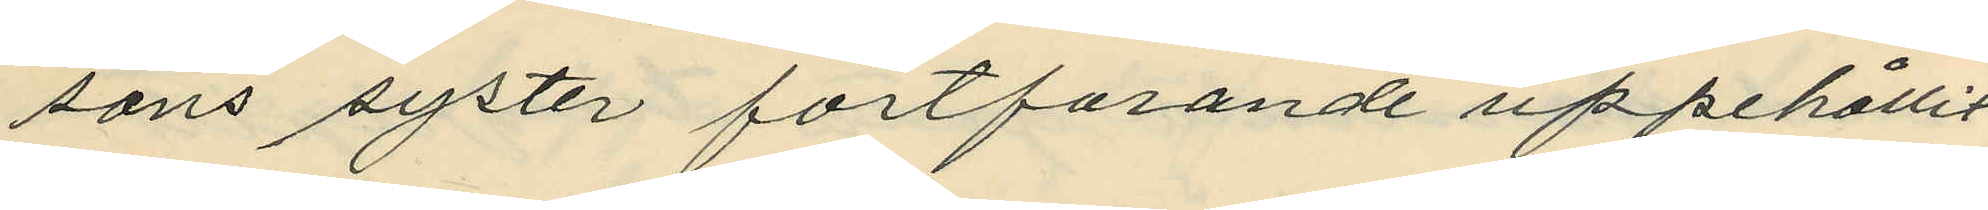sons syster fortfarande uppehållit
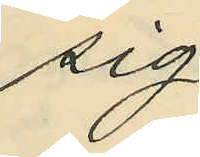sig;
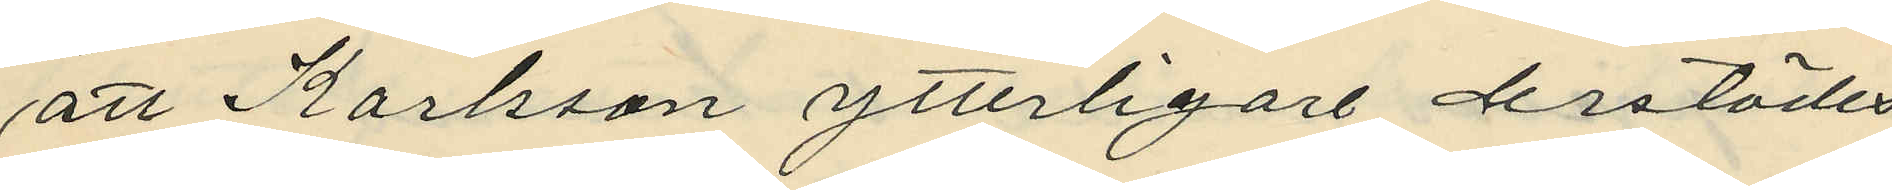att Karlsson ytterligare derstädes
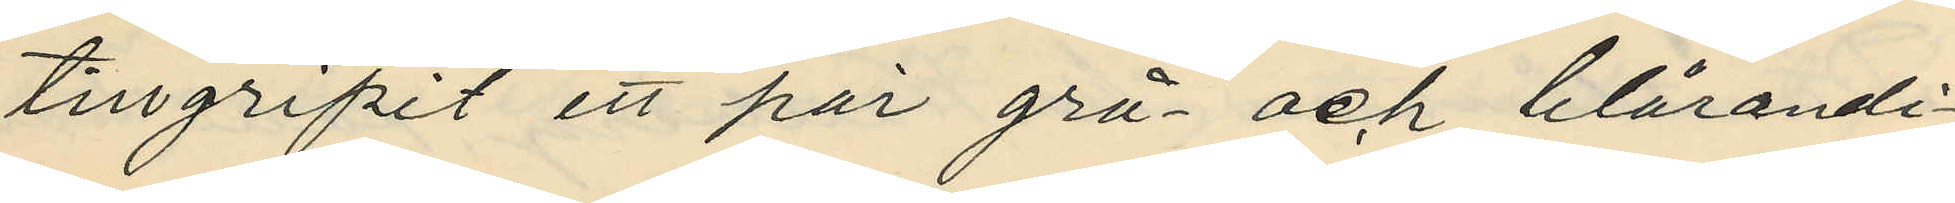tillgripit ett par grå- och blårandi¬
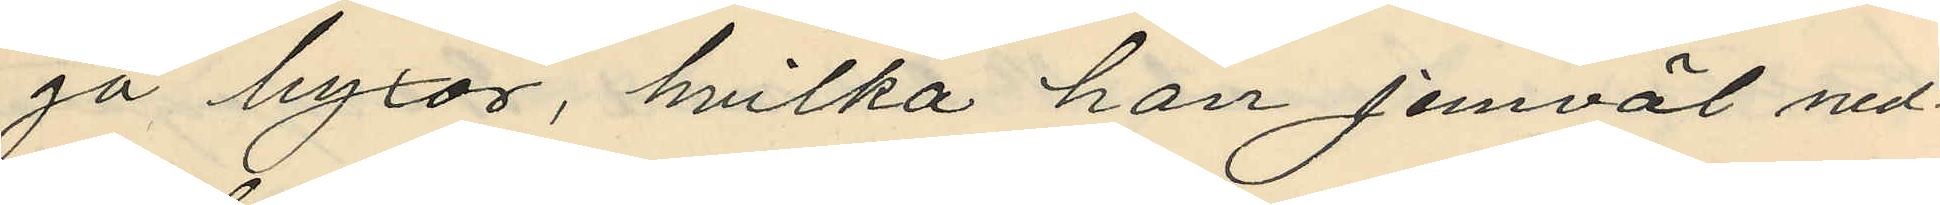ga byxor, hvilka han jemväl ned¬
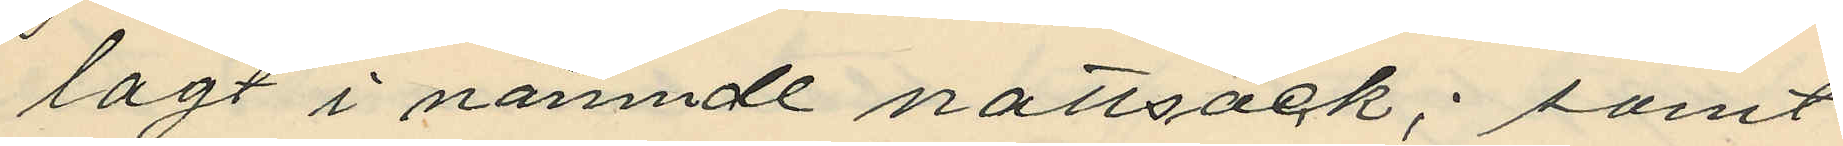lagt i nämnde nattsäck; samt
